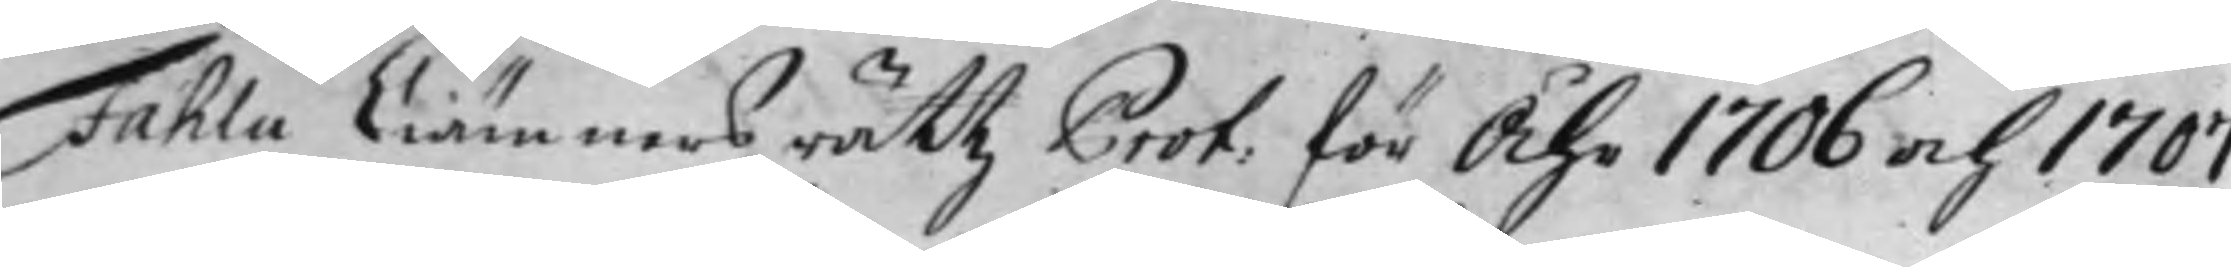Fahlu Ciämners rättz Prot: för Åhr 1706 och 1707
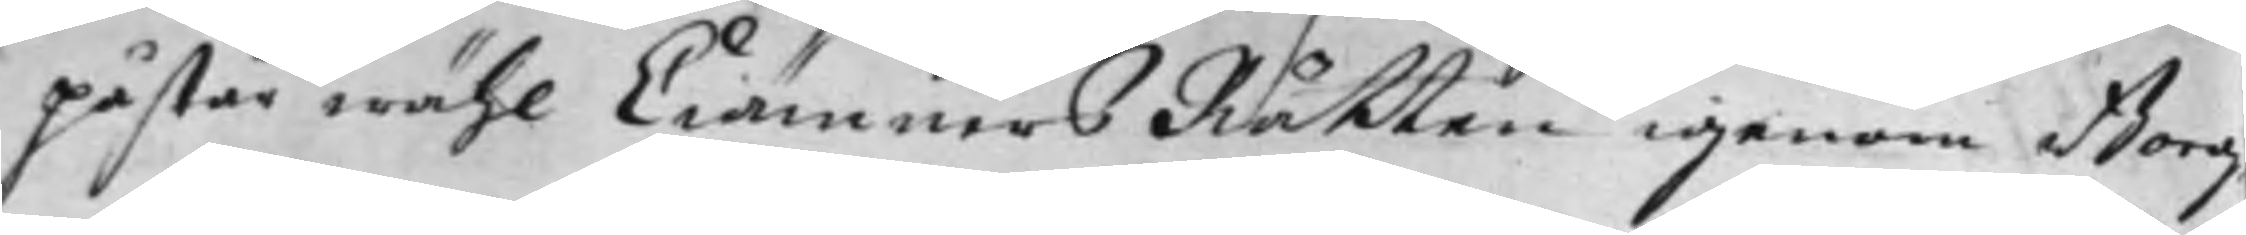påstår wähl Ciämners Rätten igenom Borg¬
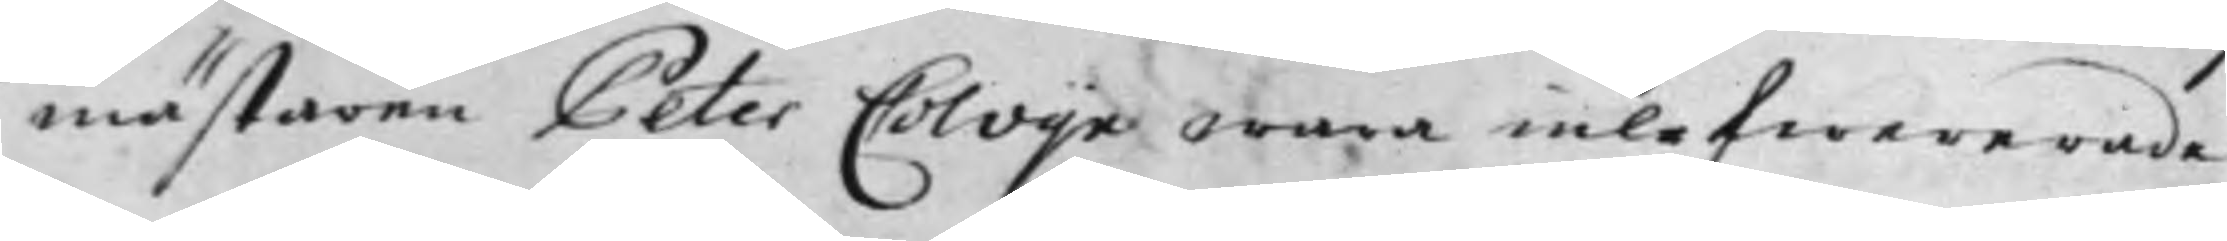mästaren Peter Colvijn wara inlefwererade
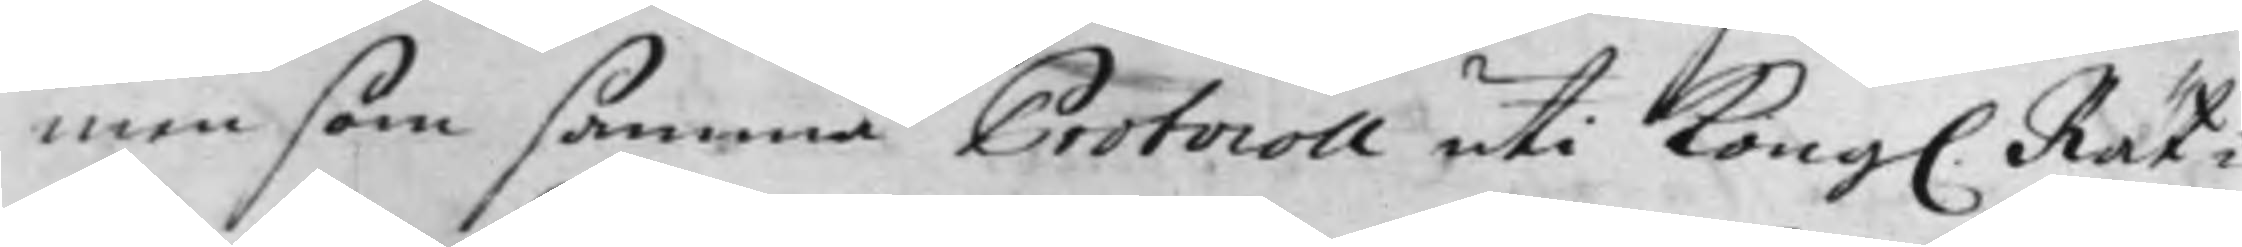men som samma Protocoll uti Kong. Rät¬
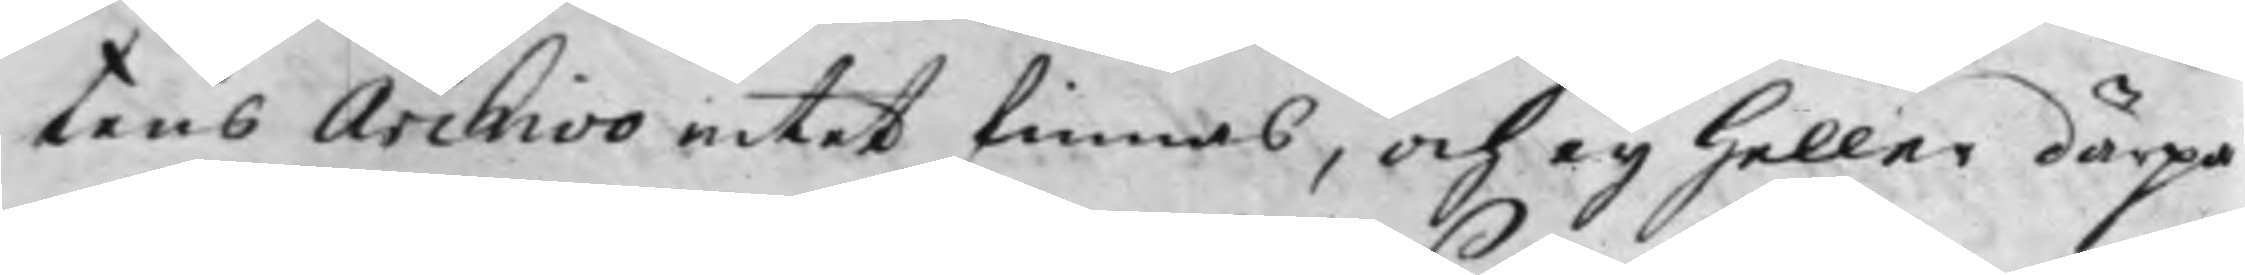tens Archivo intet finnes, och ey heller därpa
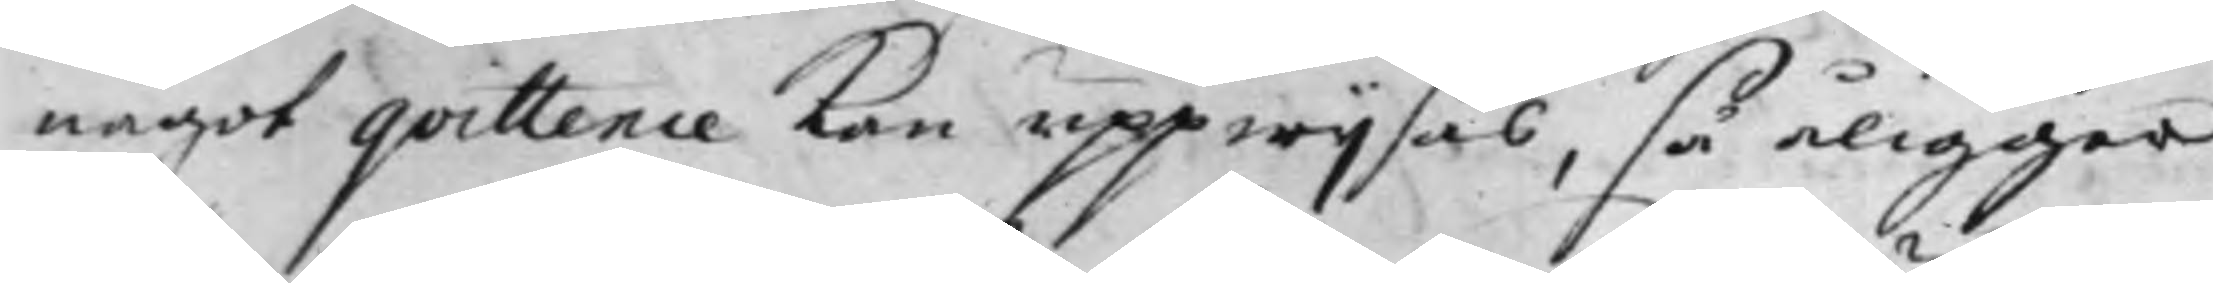något qvittence kan uppwijsas, så åligger
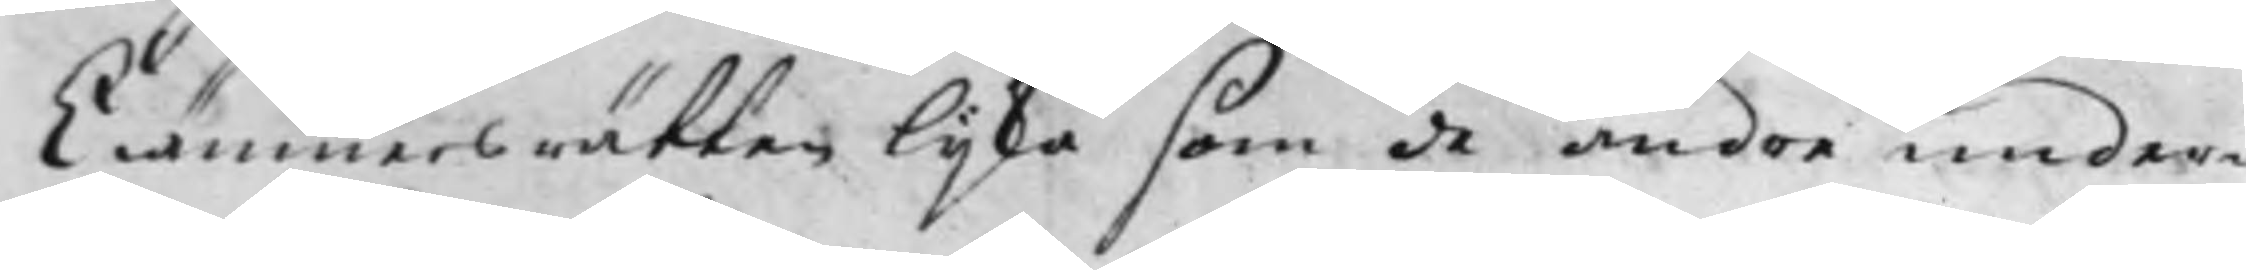Ciämners rätten lijka som de andra under¬
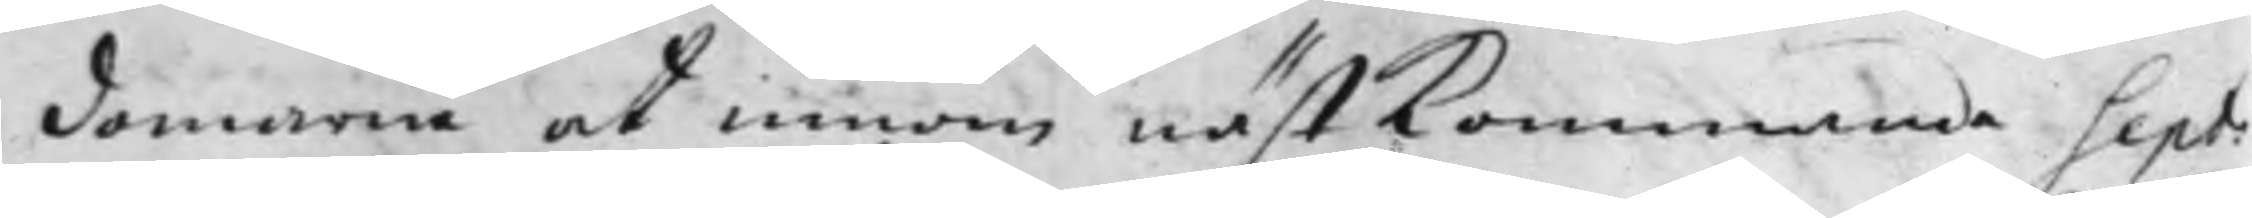domarne at innom näst kommande Sept:
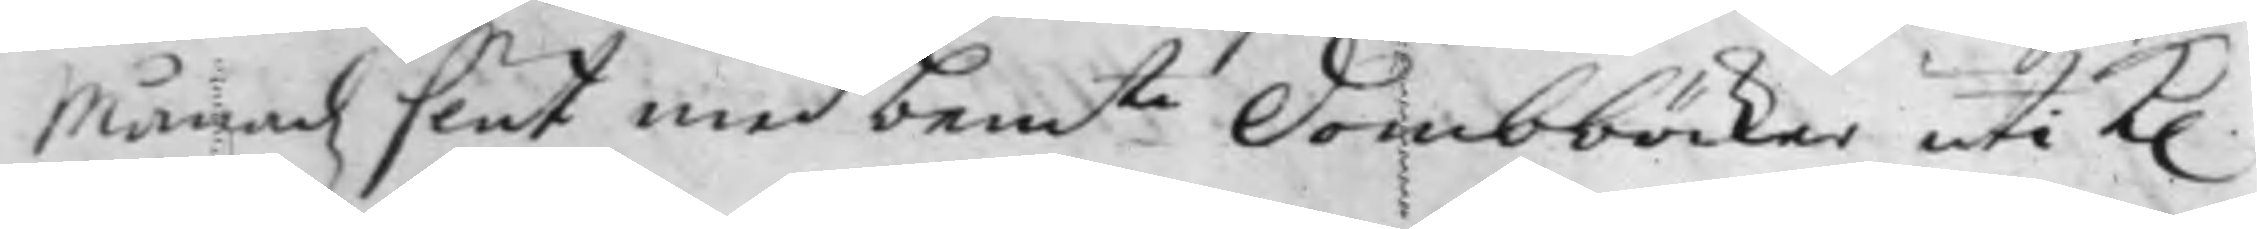Månadz slut med bem:te Dombböcker uti K.
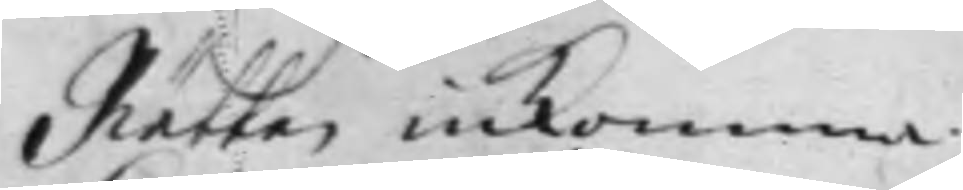Rätten inkomma.
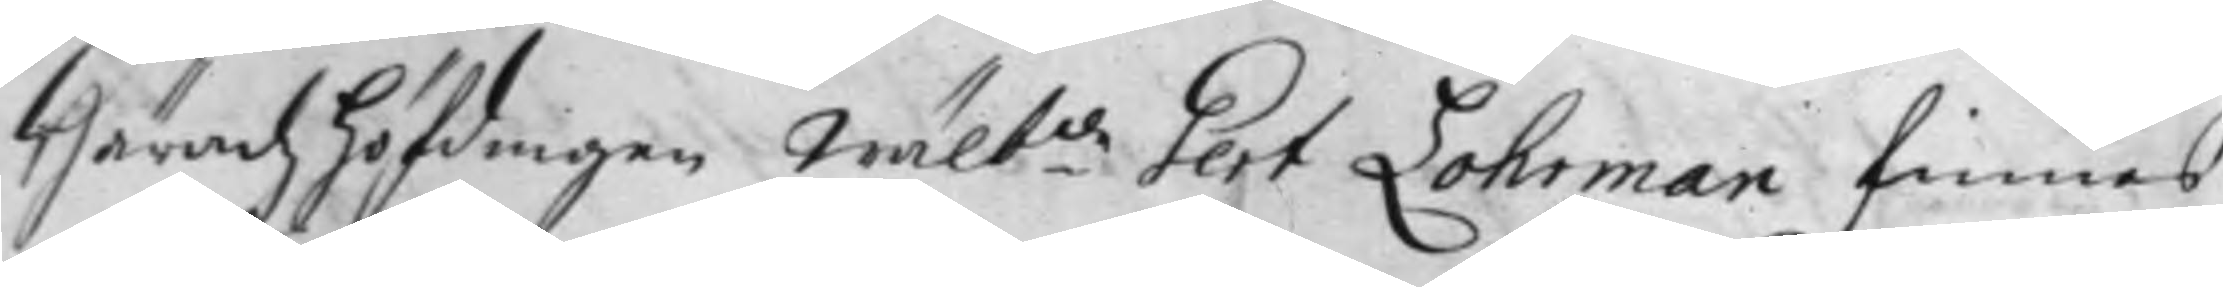Häradz höfdingen Wälb.de Gert Lohrman finnes
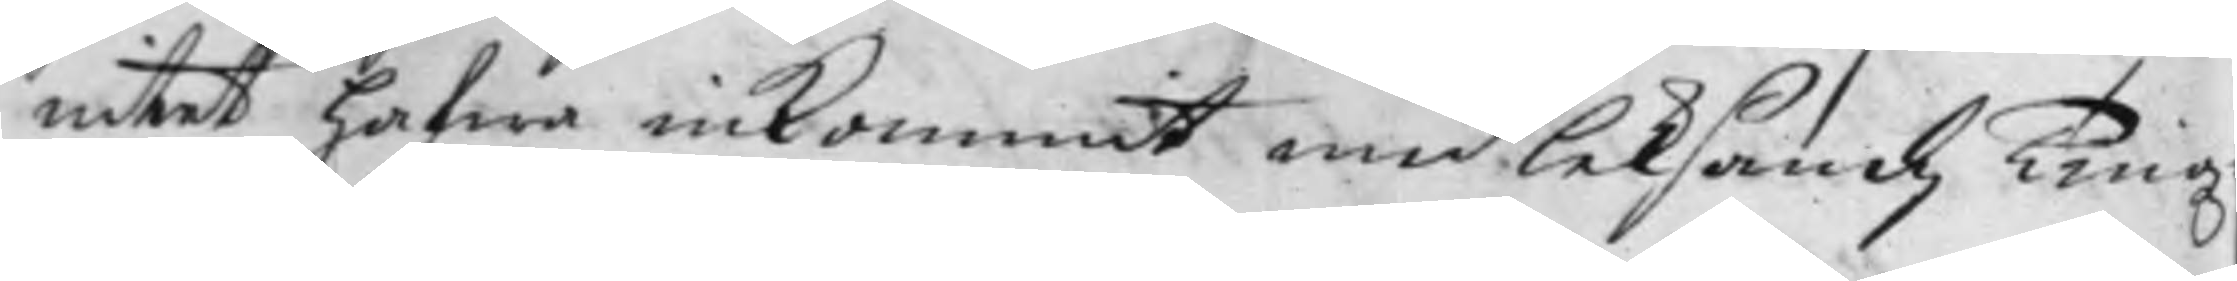intet hafwa inkommit med Leksandz Tingz
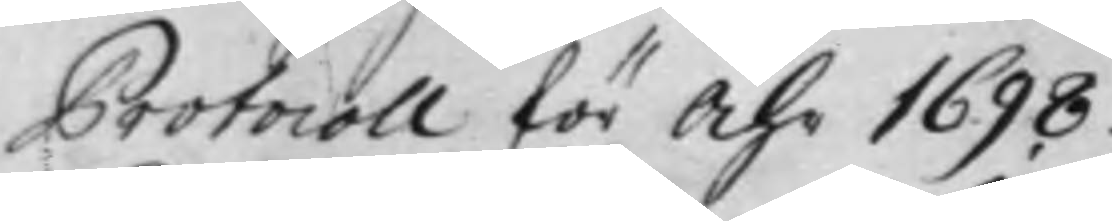Protocoll för Åhr 1698.
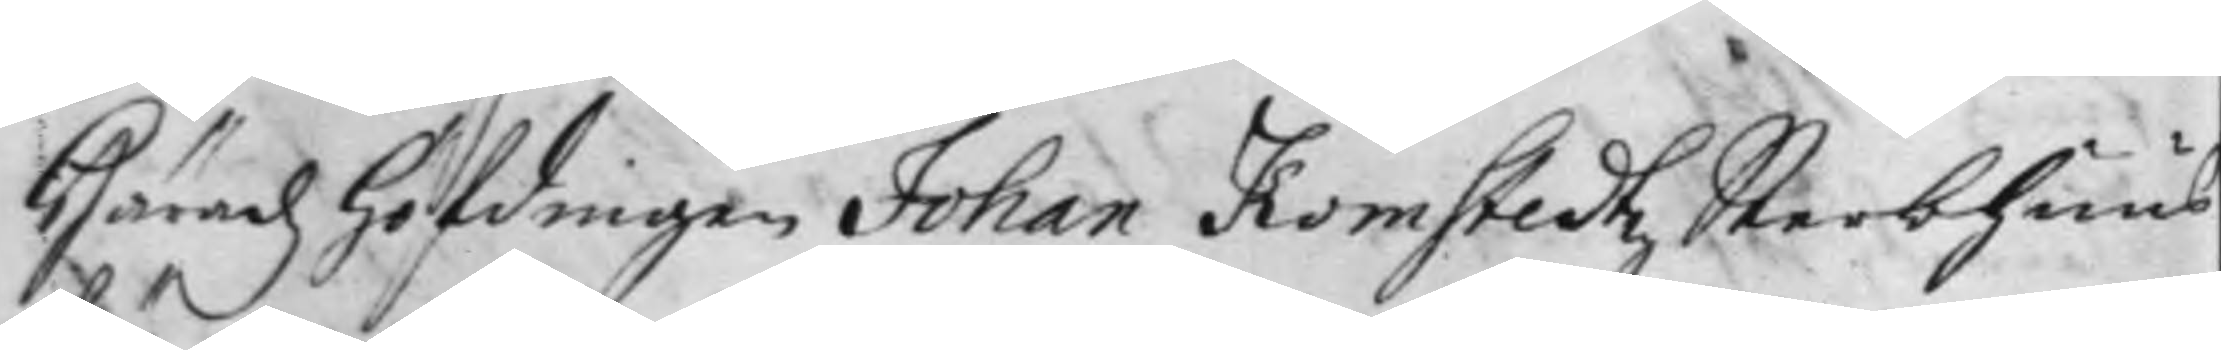Häradz höfdingen Johan Komstedtz Sterbhuus
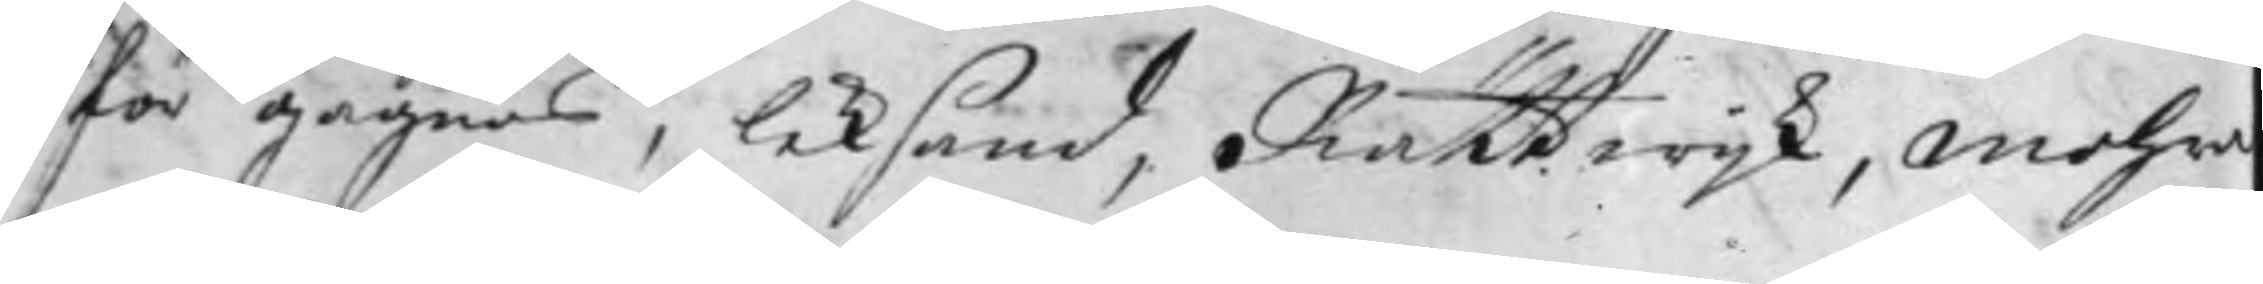för Gagnäf, Leksand, Rättwijk, Mohra
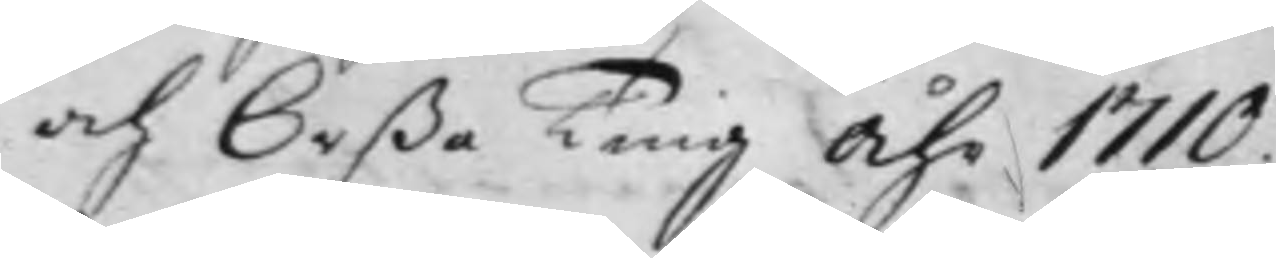och Orßa Ting Åhr 1710.
